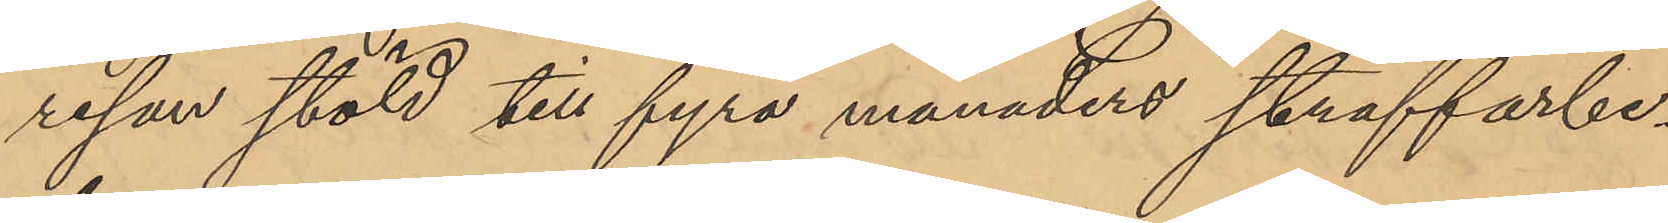resan stöld till fyra månaders straffarbe¬
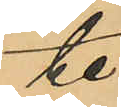te;
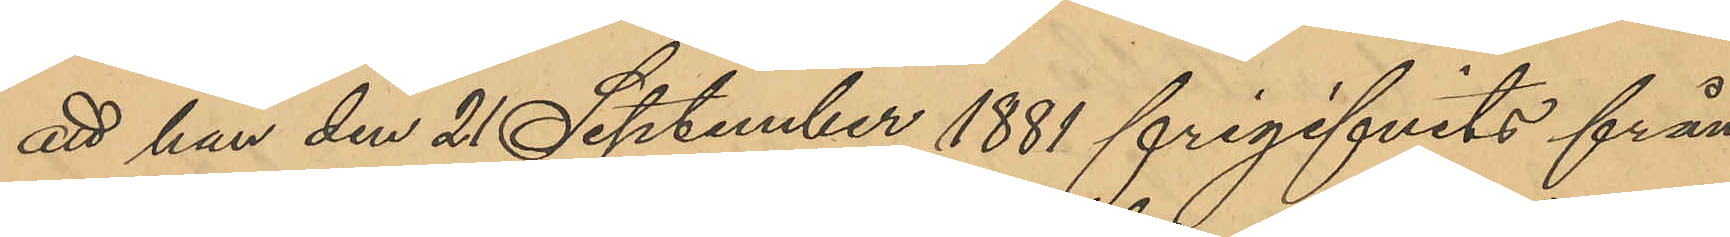att han den 21 September 1881 frigifvits från
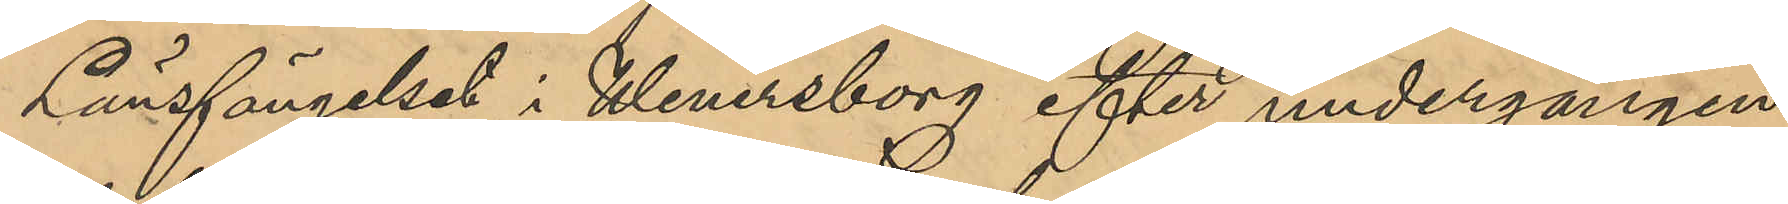Länsfängelset i Wenersborg efter undergången
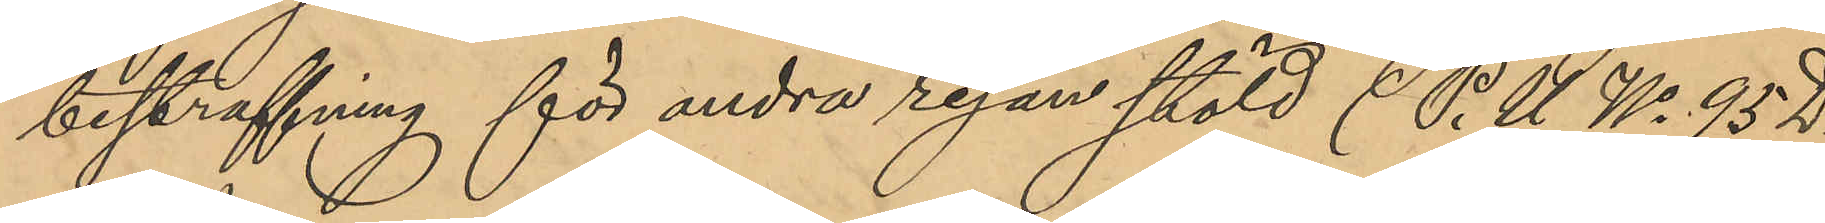bestraffning för andra resan stöld (P.U. No 95 D.
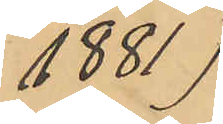1881)
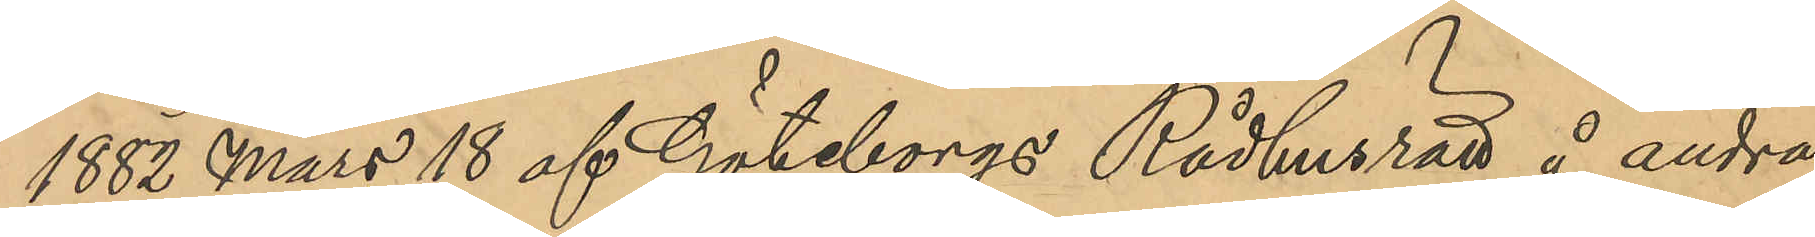1882 Mars 18 af Göteborgs Rådhusrätt å andra
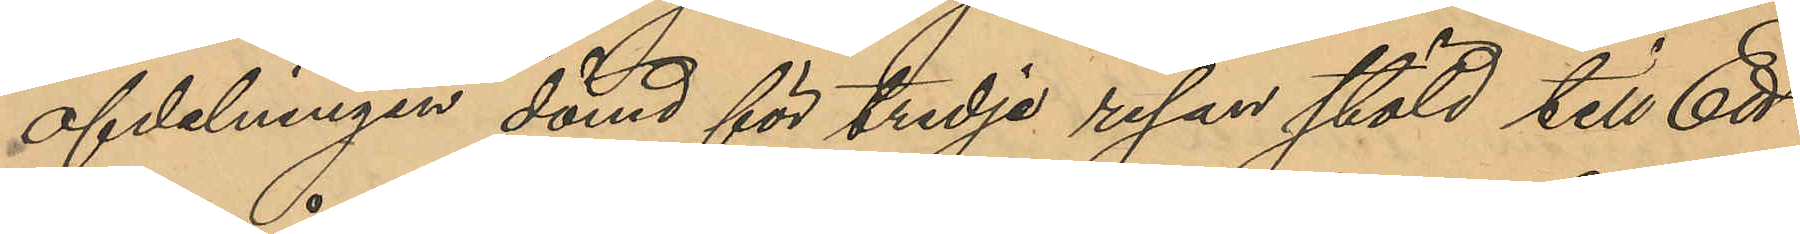afdelningen dömd för tredje resan stöld till Ett
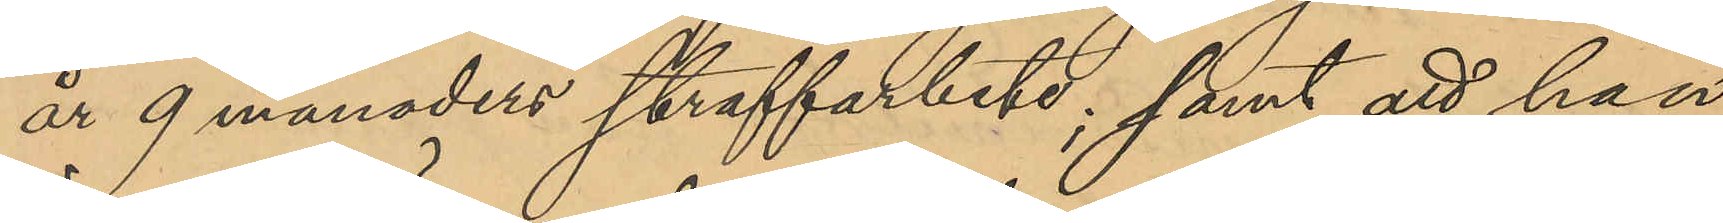år 9 månaders straffarbete; samt att han
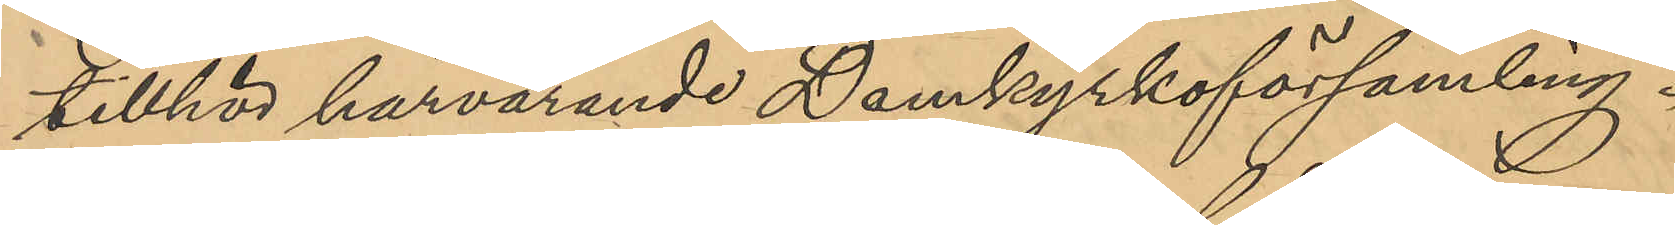tillhör härvarande Domkyrkoförsamling.
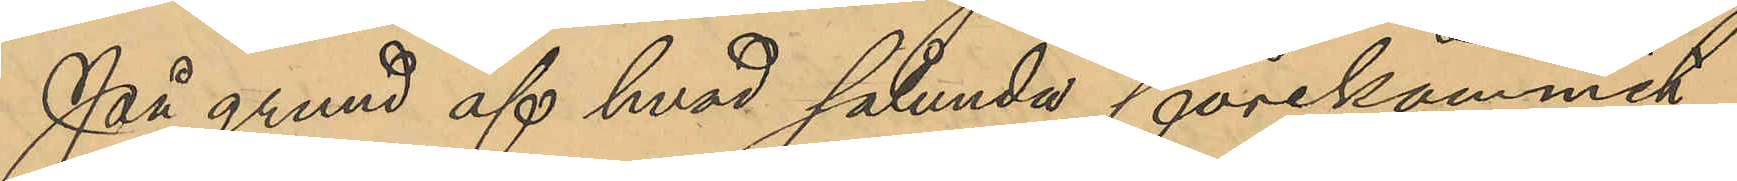På grund af hvad sålund förekommit
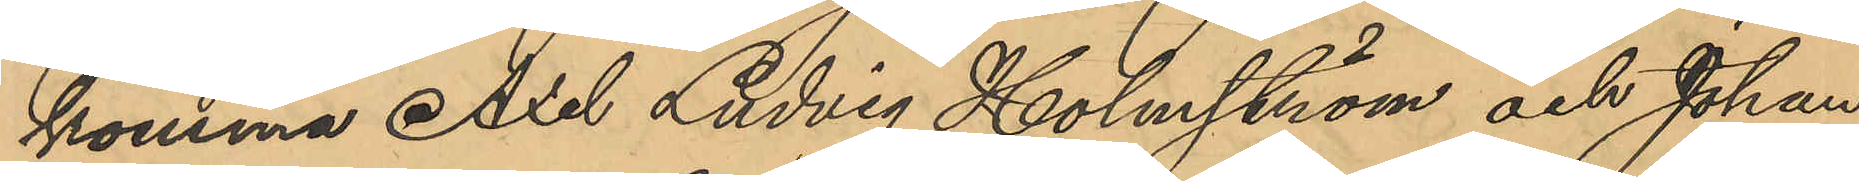komma Axel Ludvig Holmström och Johan
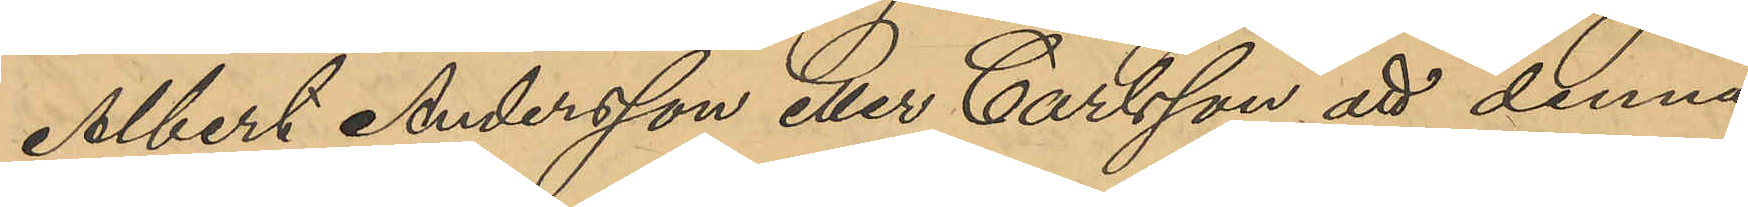Albert Andersson eller Carlsson att denna
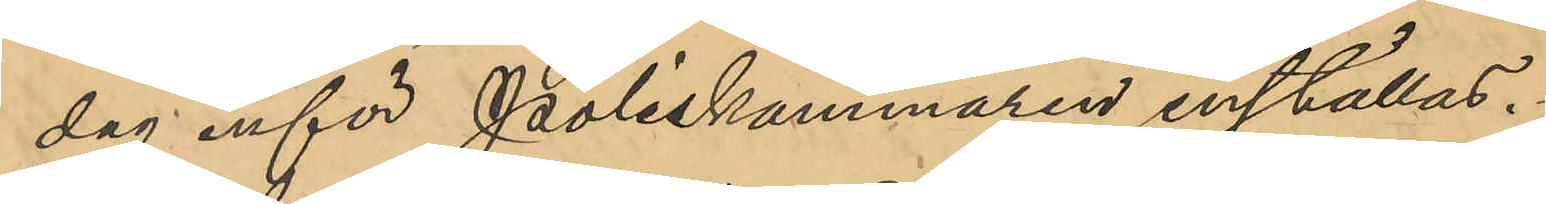dag inför Poliskammaren inställas.
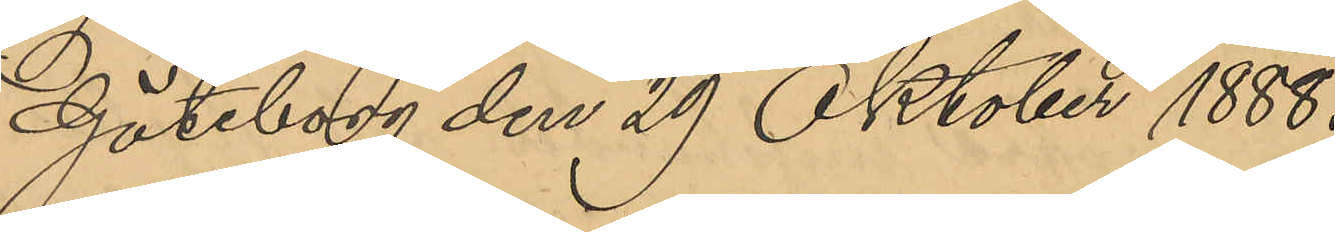Göteborg den 29 Oktober 1888.
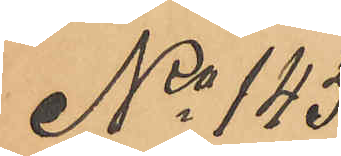No 145
